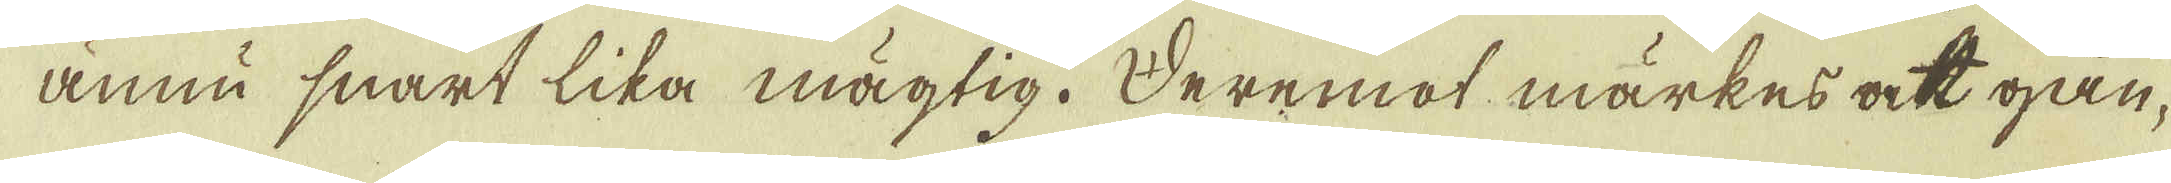ännu snart lika mägtig. Deremot märkes att gån-
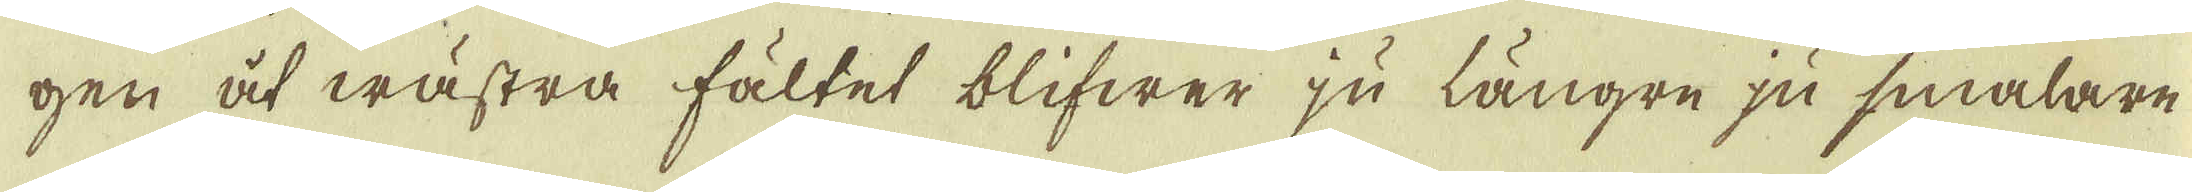gen af wästra fältet blifwer ju längre ju smalare
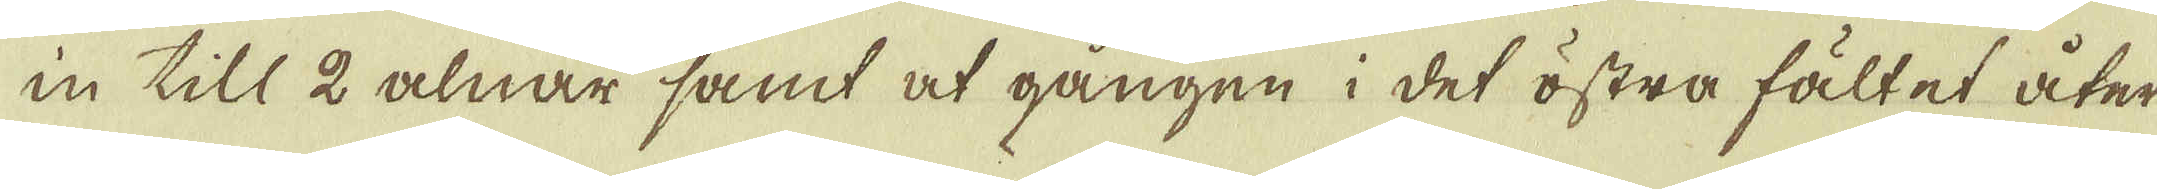in till 2 alnar samt at gången i det östra fältet åter
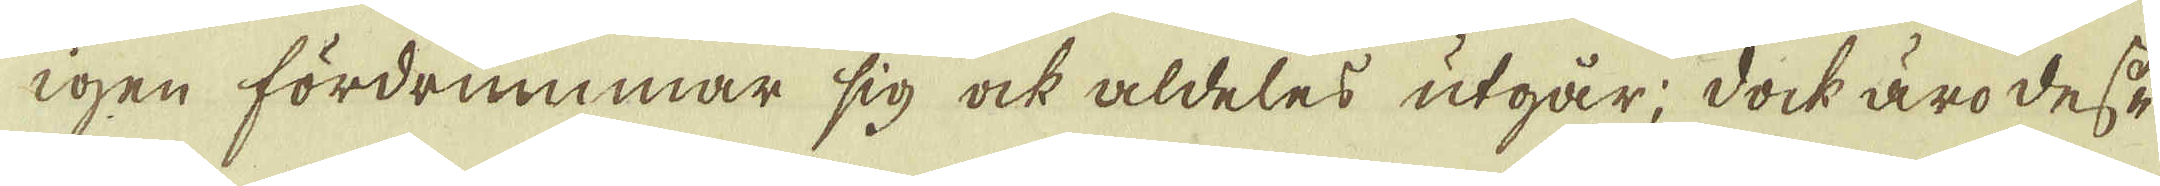igen fördrummar sig ock aldeles utgår; doch äro dess
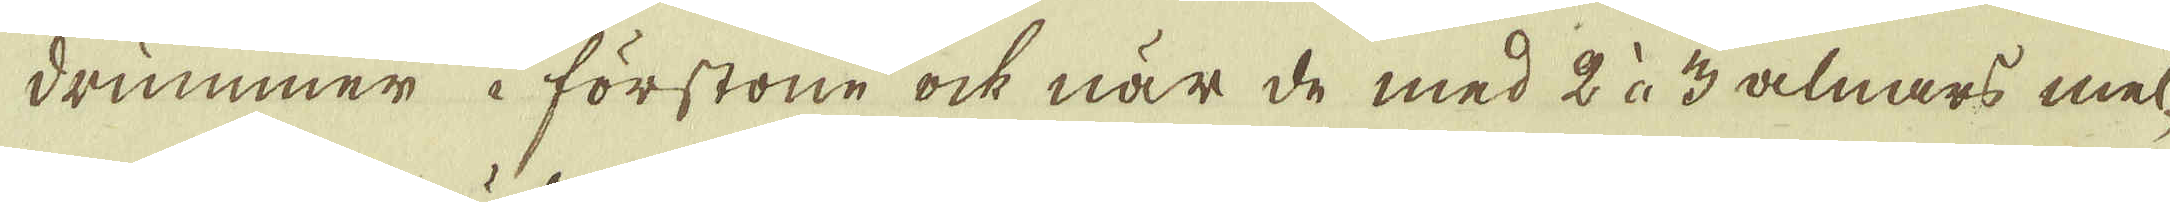drummer i förstone ock när de med 2 à 3 alnars mel-
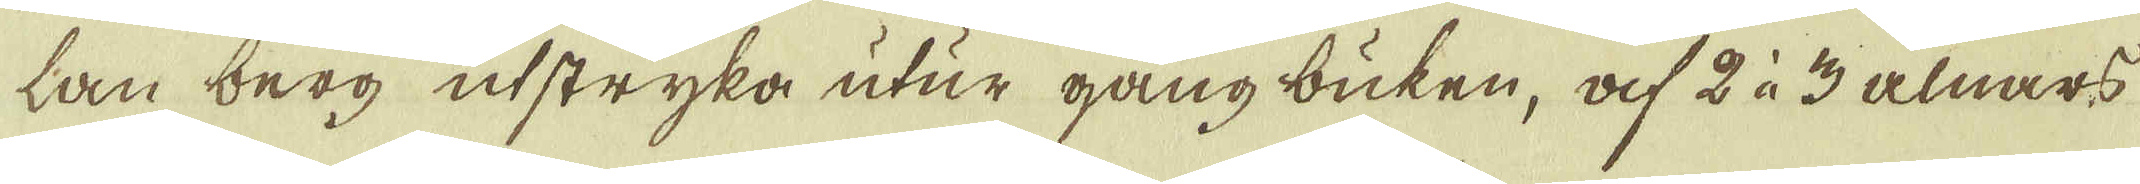lan berg usstryka utur gång buken, af 2 à 3 alnar
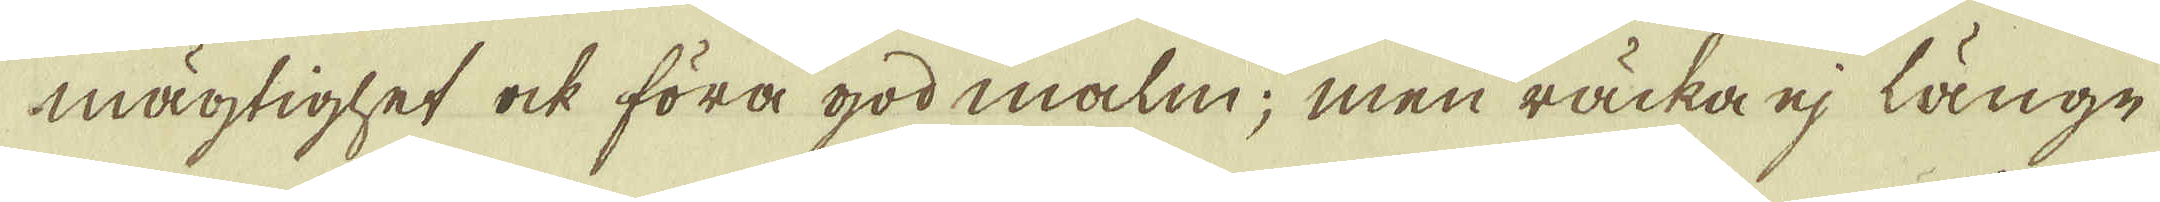mägtighet ock föra god malm; men räcka ej länge
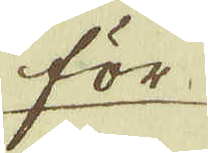för-
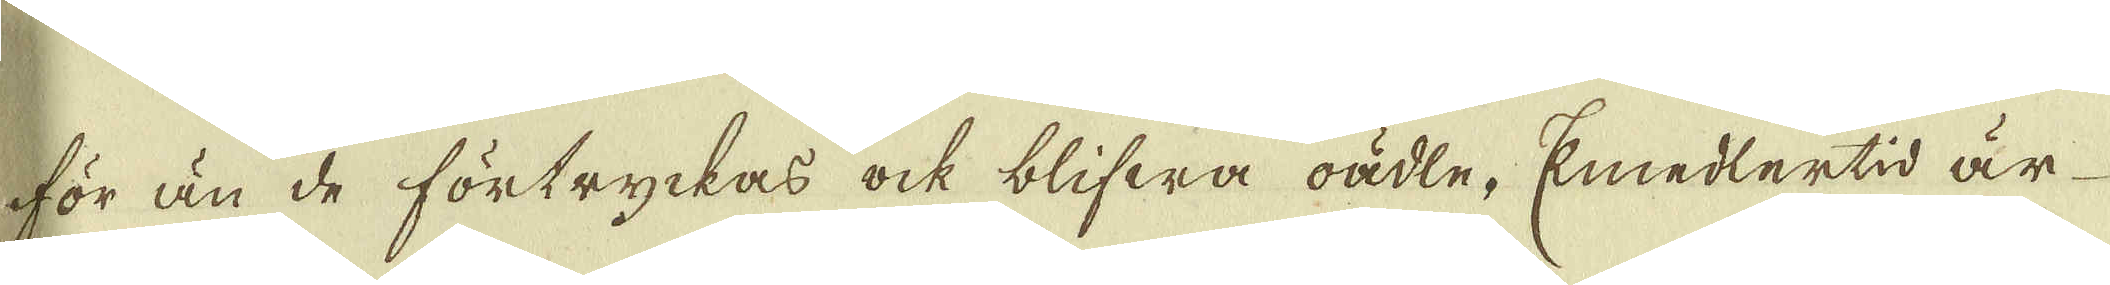för än de förtryckas ock blifwa oäkte. Emedlertid är
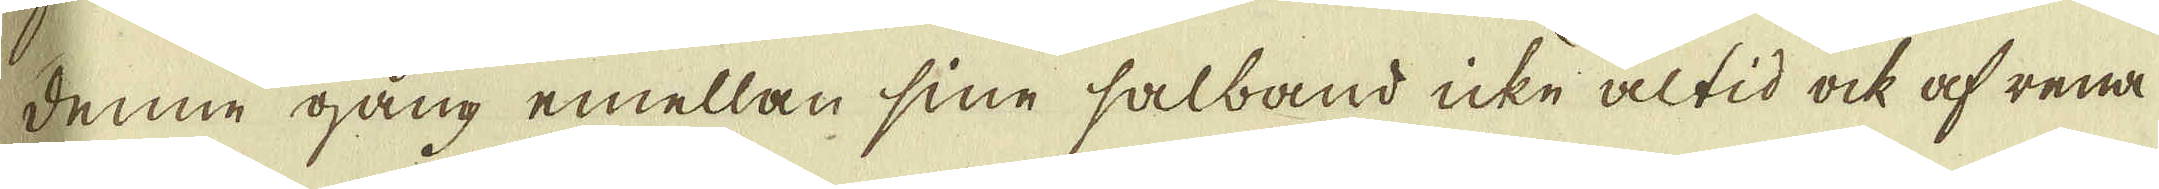denne gång emellan sine halband icke altid ock af rena
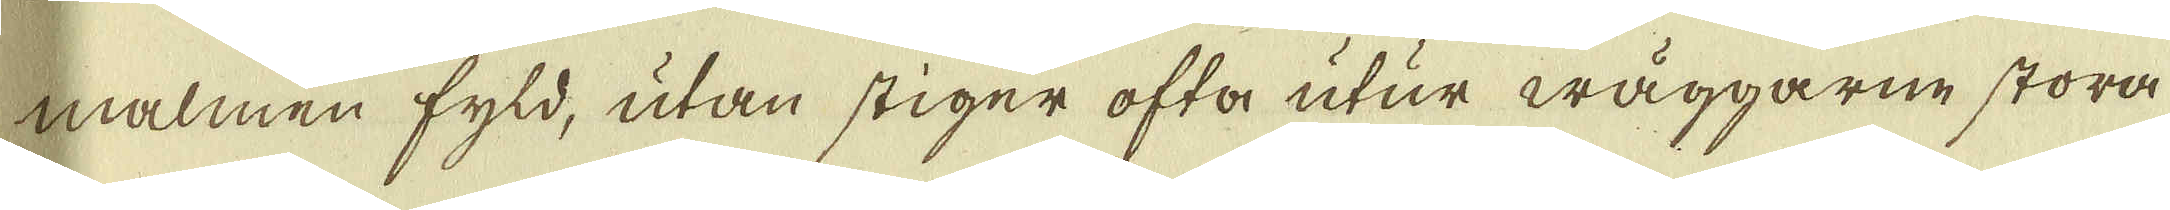malmen fyld, utan stiger ofta utur wäggarne stora
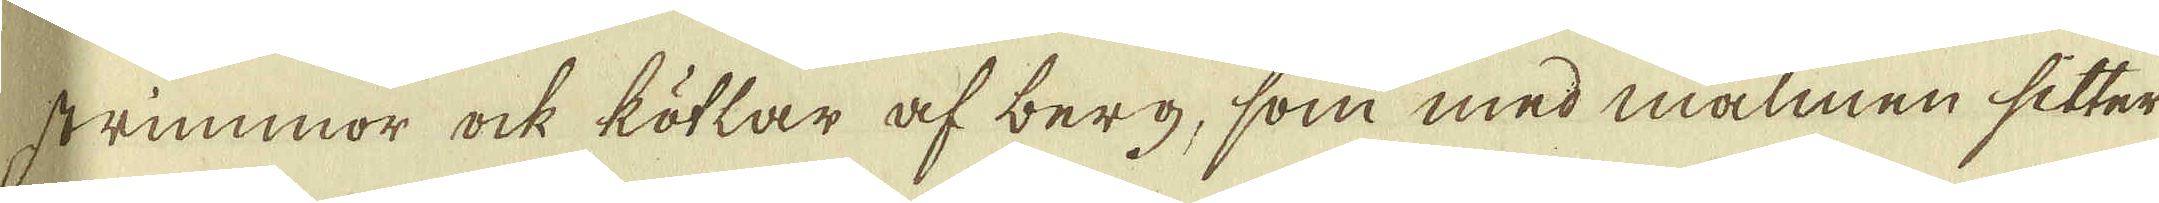strimmor ock kötlar af berg, som med malmen sitter
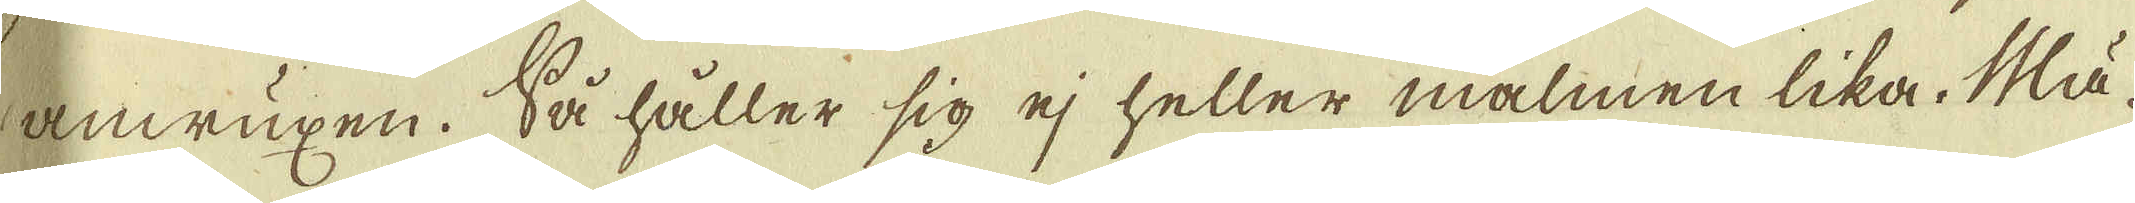anwuxen. Så håller sig ej heller malmen lika. Mä-
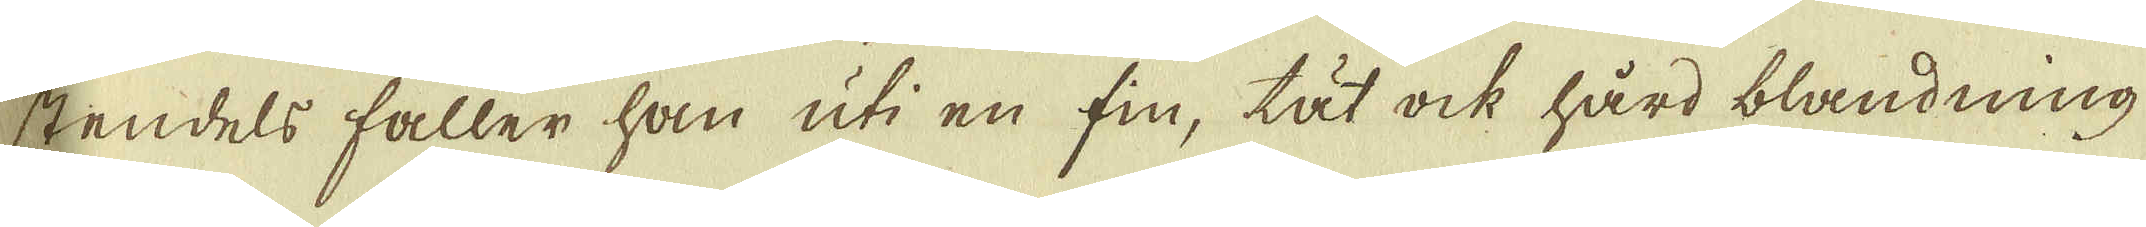stendels faller han uti en fin, lät ock hård blandning
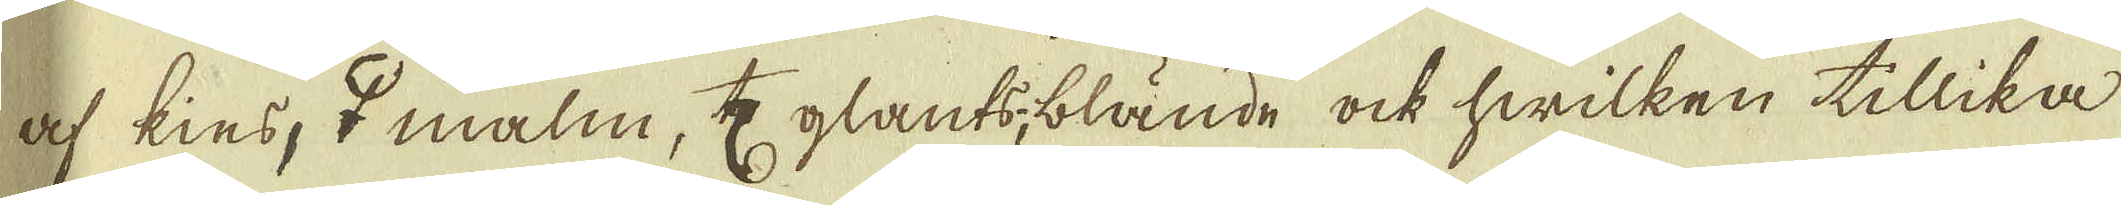af kins, ♀ malm, ♄ glants; blände ock hwilken tillika
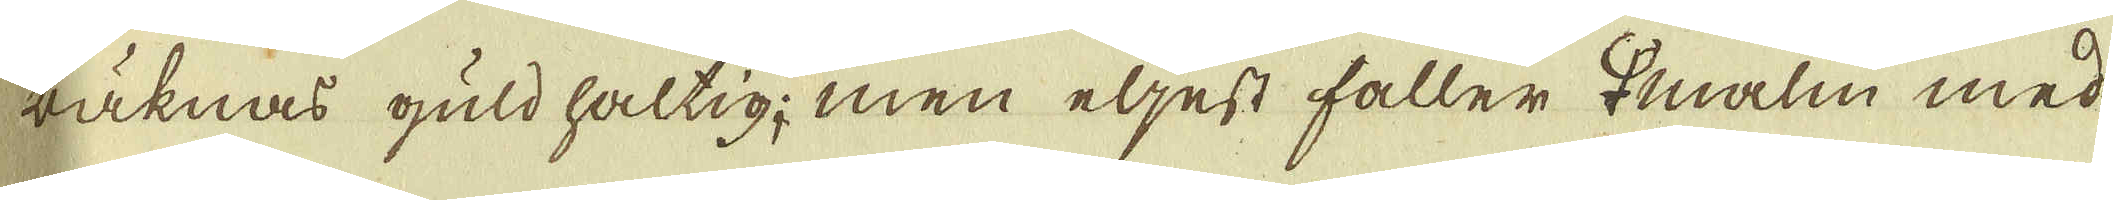räknas guld haltig; men eljest håller ♀ malm med
